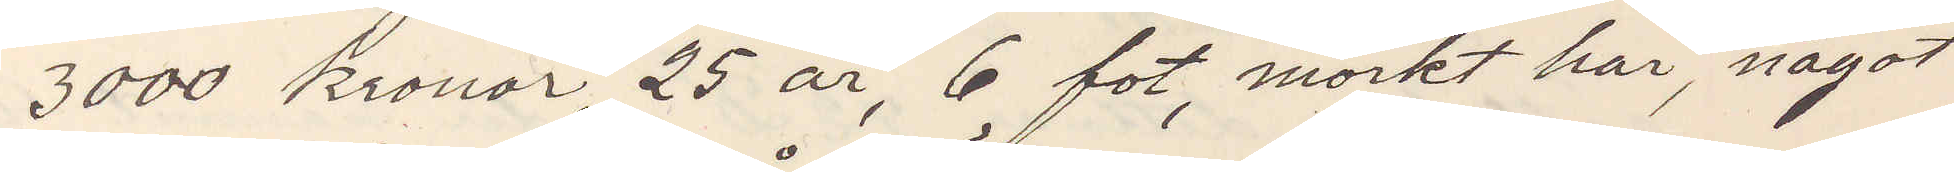3000 kronor, 25 år, 6 fot, mörkt hår, något
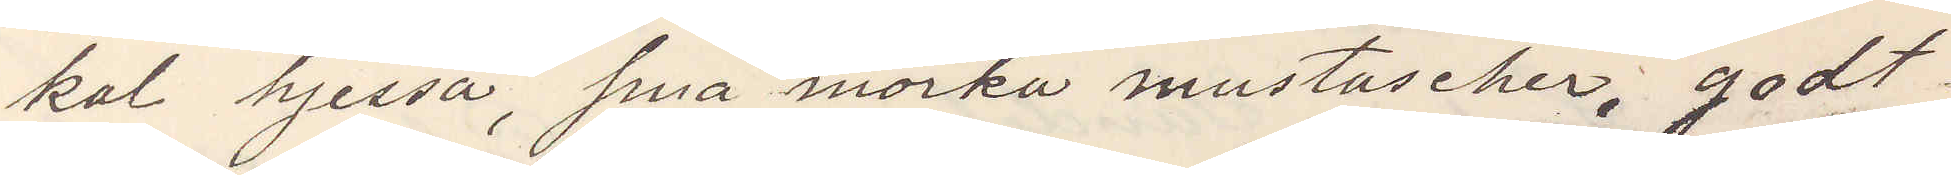kal hjessa, små mörka mustascher, godt
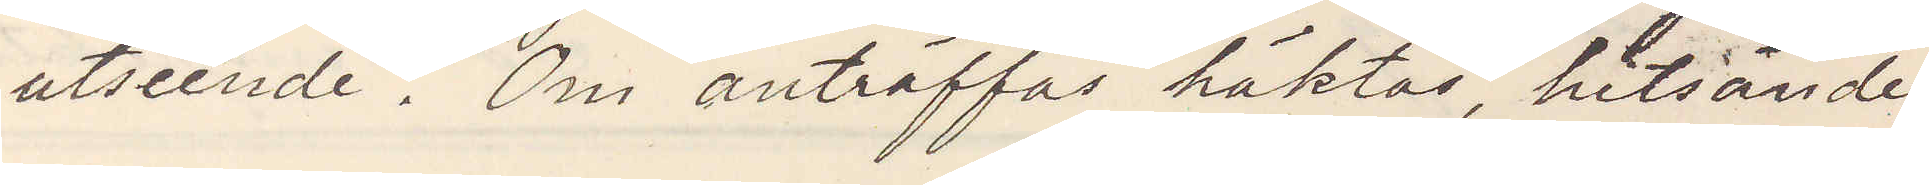utseende. Om anträffas häktas, hitsändes
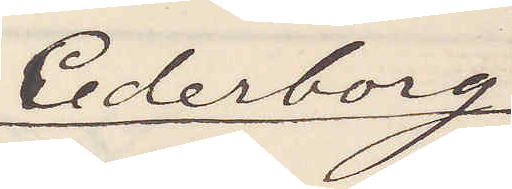Cederborg
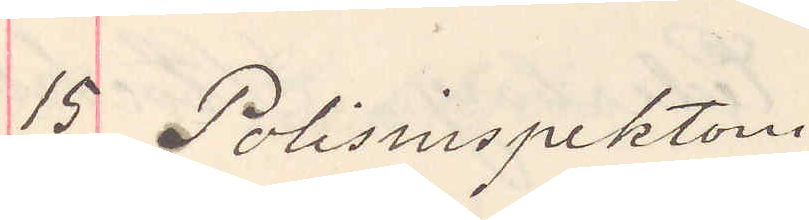15 Polisinspektoren.
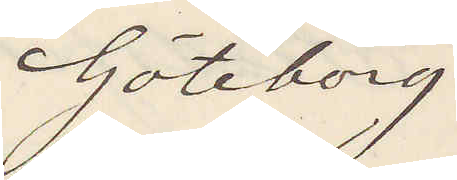Göteborg
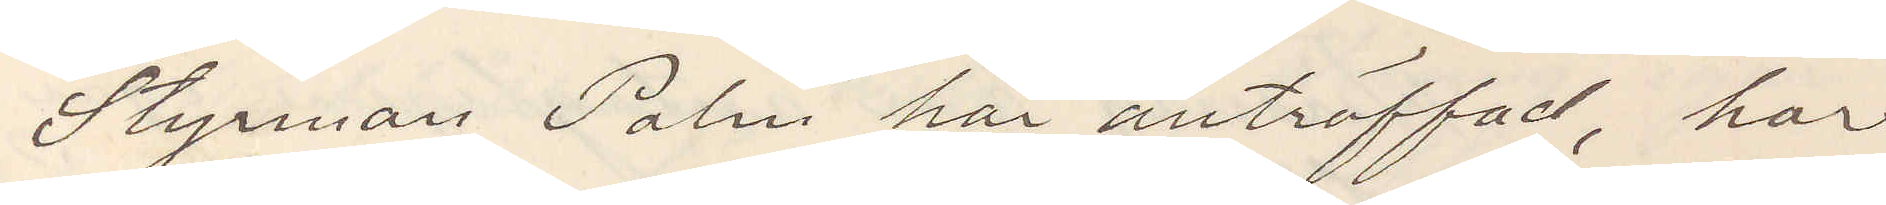Styrman Palm här anträffad, har
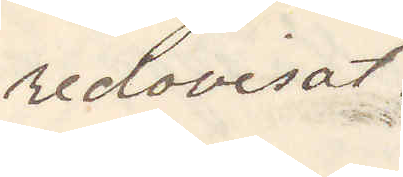redovisat.
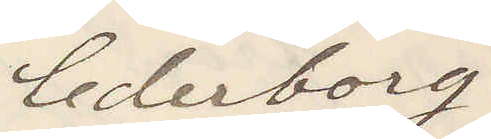Cederborg
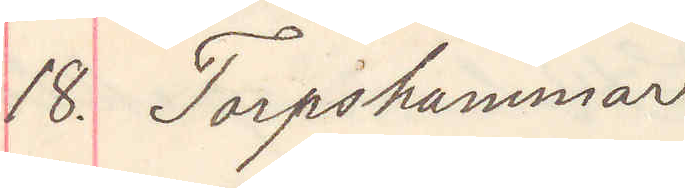18. Torpshammar
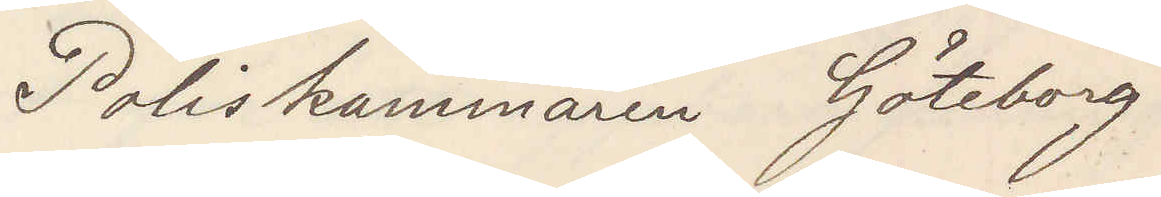Poliskammaren Göteborg
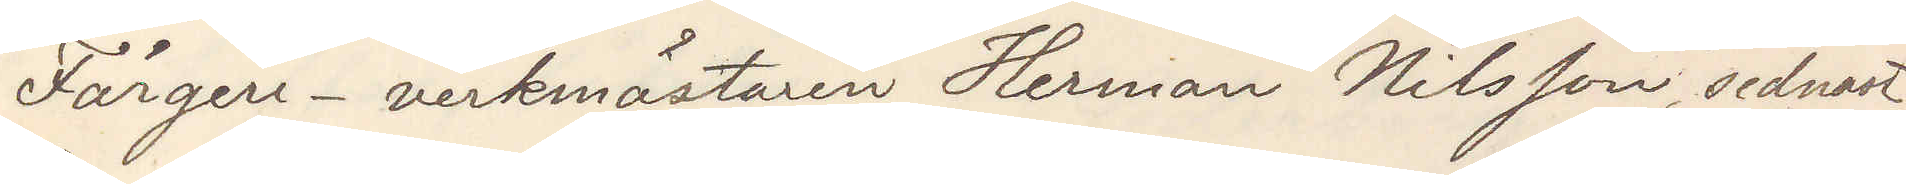Färgeri-verkmästaren Herman Nilsson, sednat
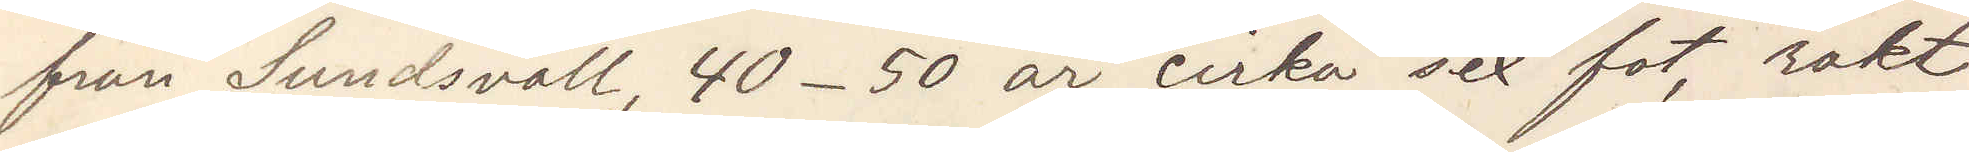från Sundsvall, 40-50 år, cirka sex fot, rakt
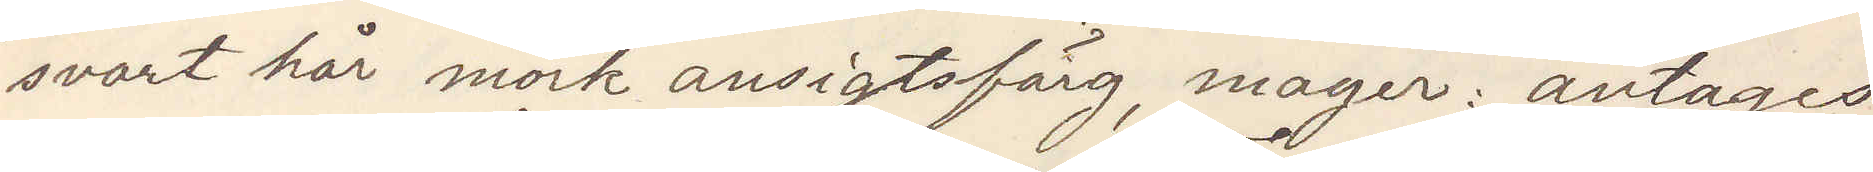svart hår mörk ansigtsfärg, mager: antags
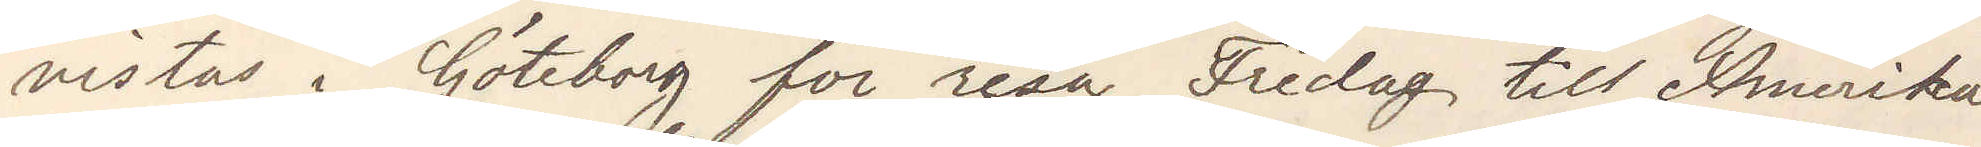vistas i Göteborg för resa fredag till Amerika
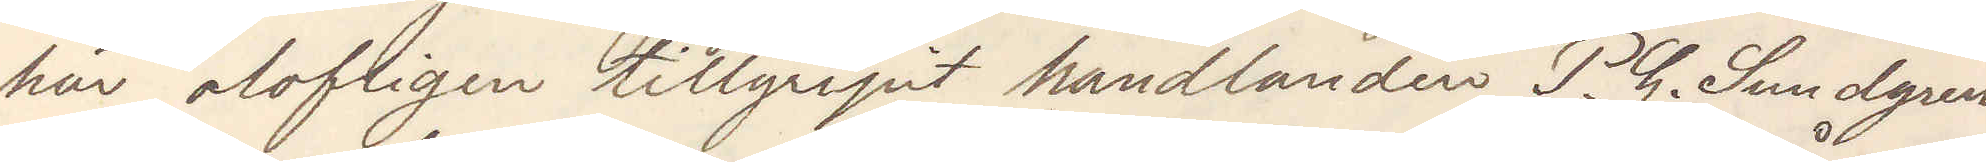här olofligen tillgripit handlanden P. G. Sundgren
